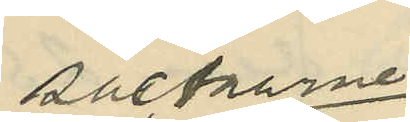säckarne
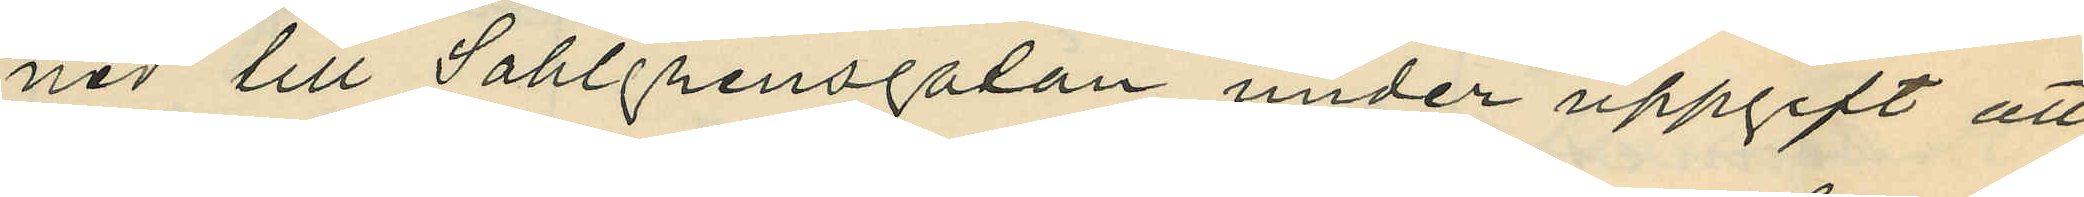ned lill Sahlgrensgatan under uppgift att
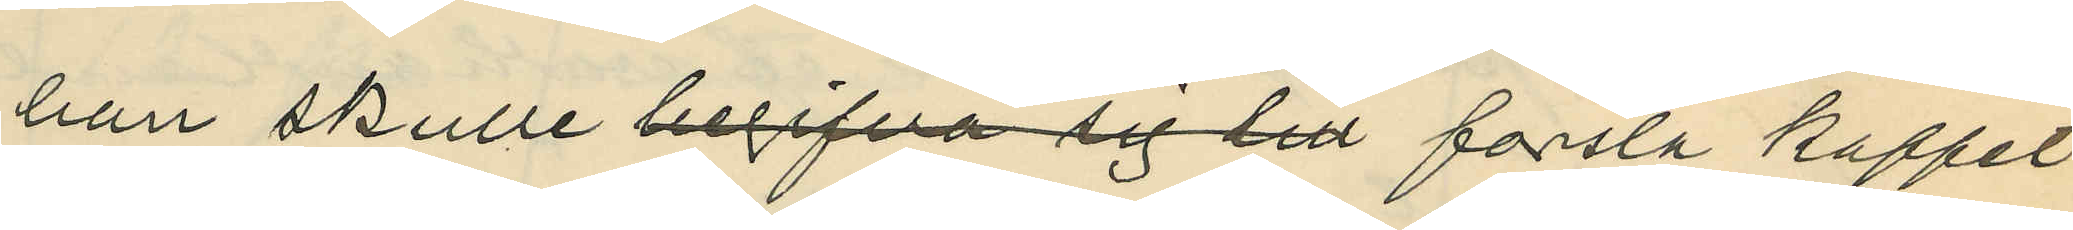han skulle begifva sig till forsla kaffet
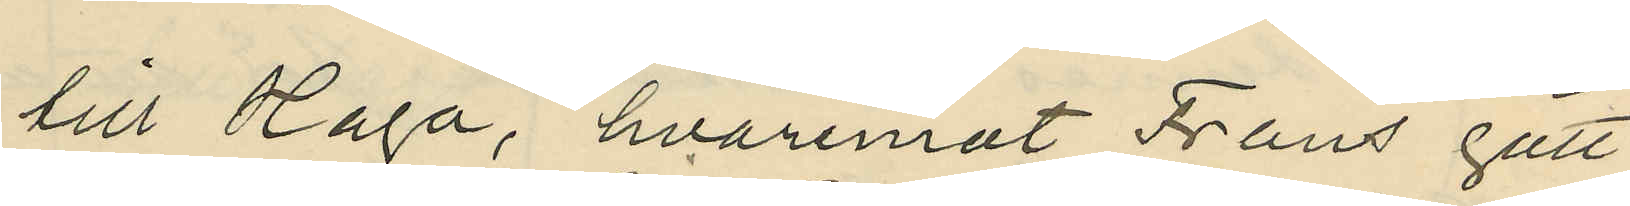till Haga, hvaremot Frans gått
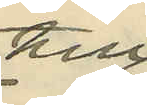till
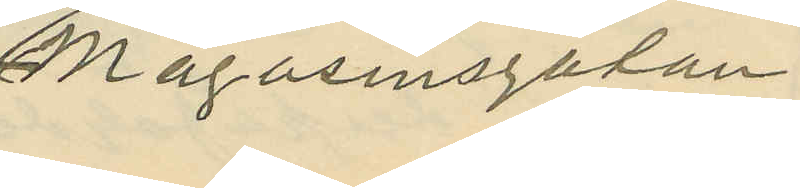Magasinsgatan
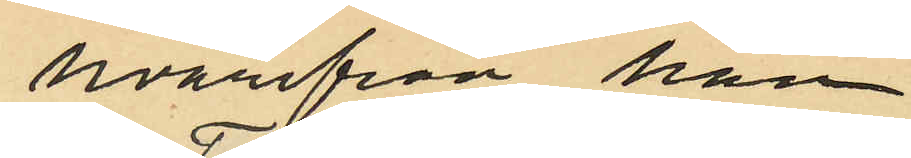hvarifrån han
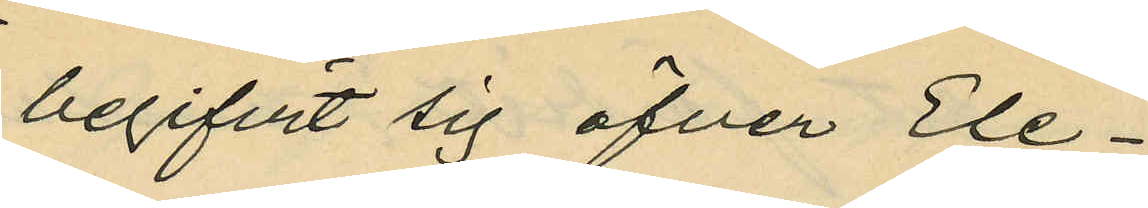begifvit sig öfver Ele¬
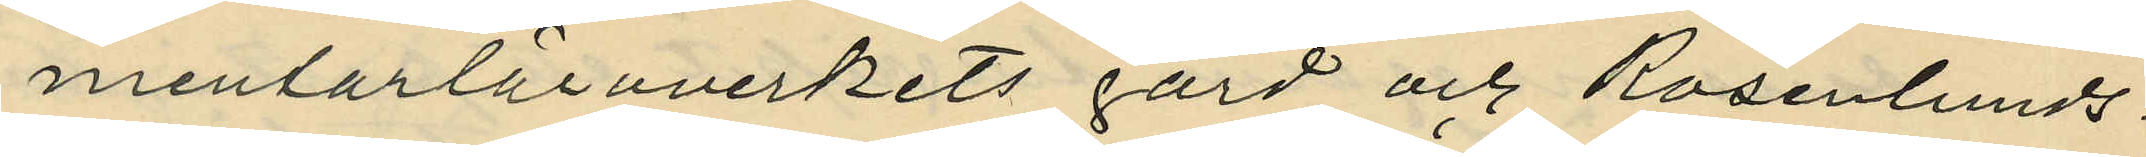mentarläroverkets gård och Rosenlunds¬
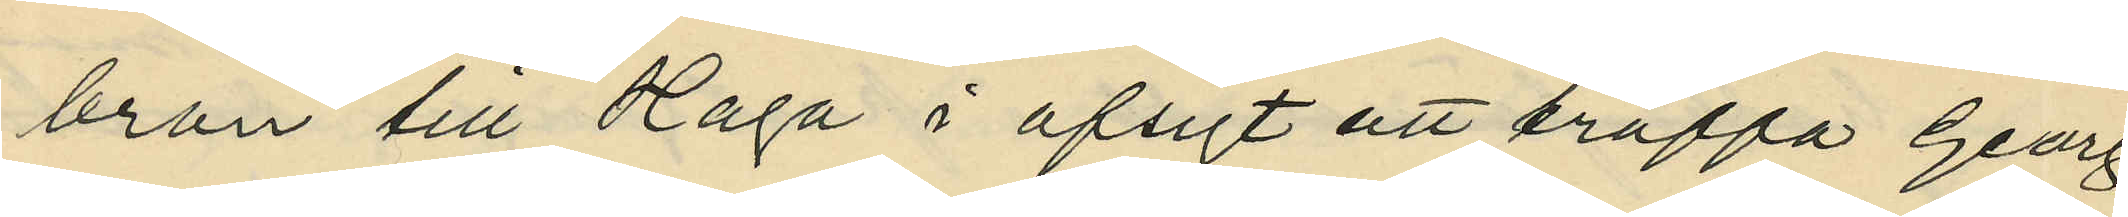bron till Haga i afsigt att träffa Georg,
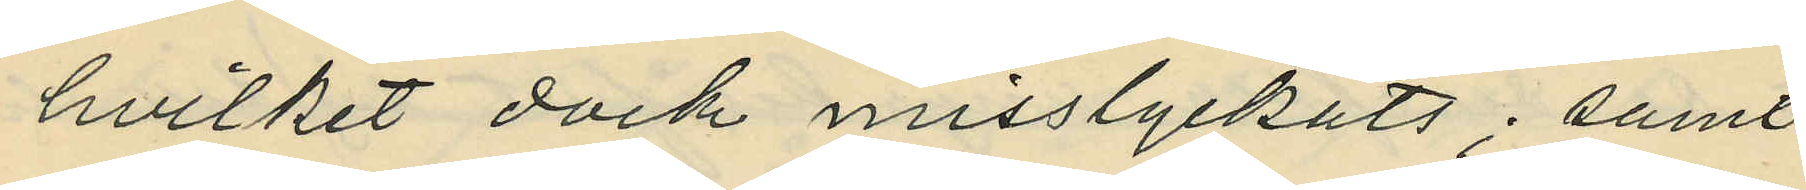hvilket dock misslyckats; samt
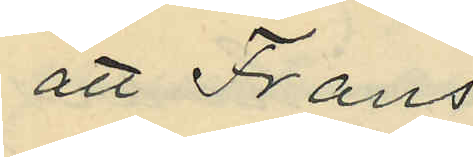att Frans
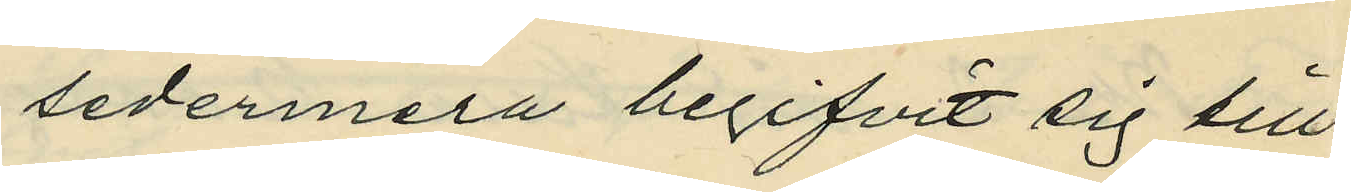sedermera begifvit sig till
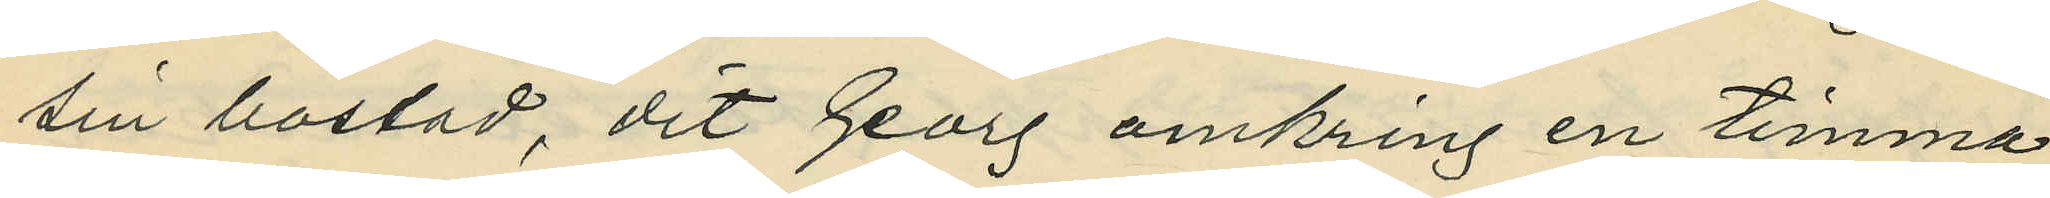sin bostad, dit Georg omkring en timma
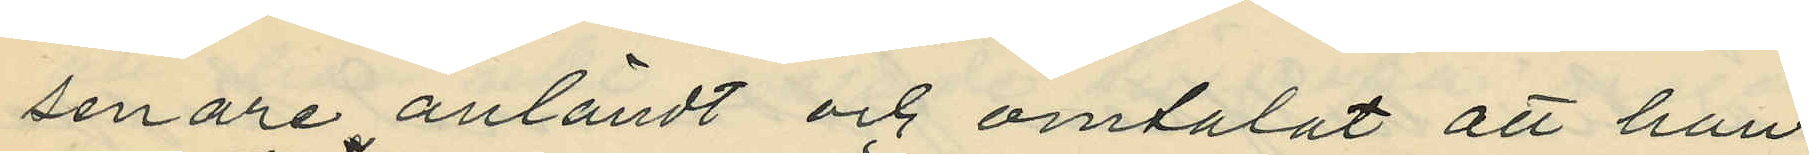senare anländt och omtalat att han
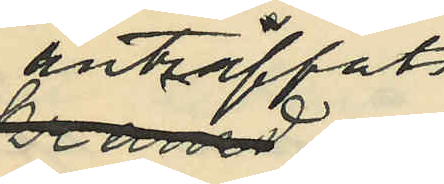anträffats
